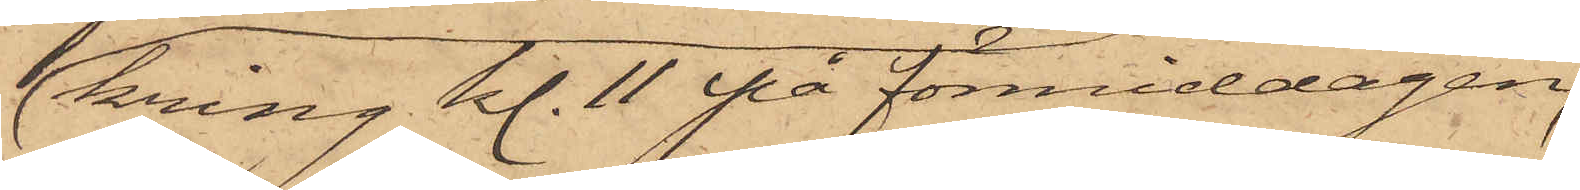kring kl. 11 på förmiddagen
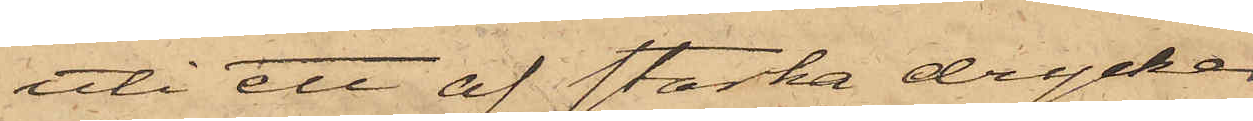uti ett af starka drycker
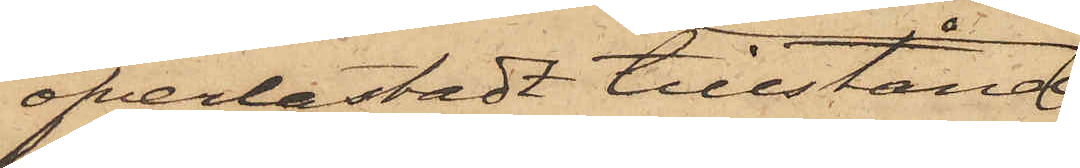öfverlastadt tillstånd
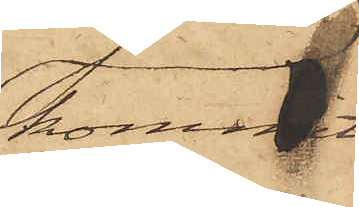kommit
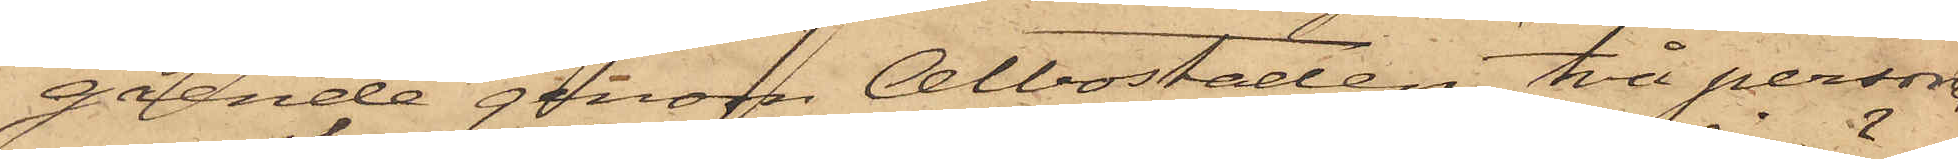gående genom Albostaden, två personer
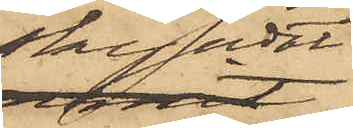skyndat
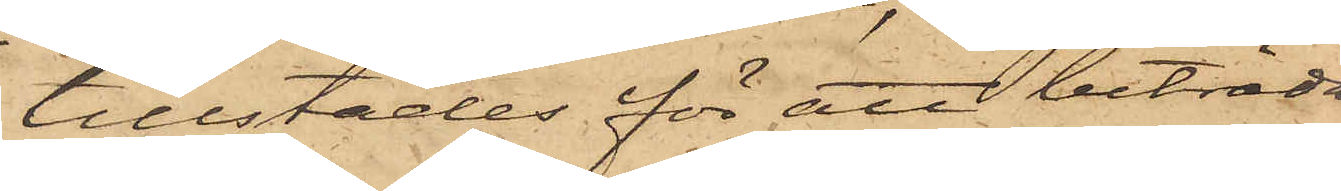tillstädes för att biträda
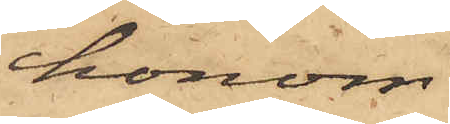honom
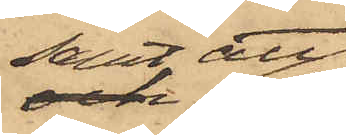samt, att
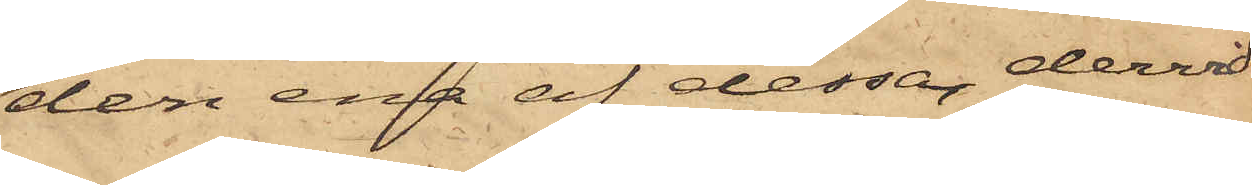den ena af dessa dervid
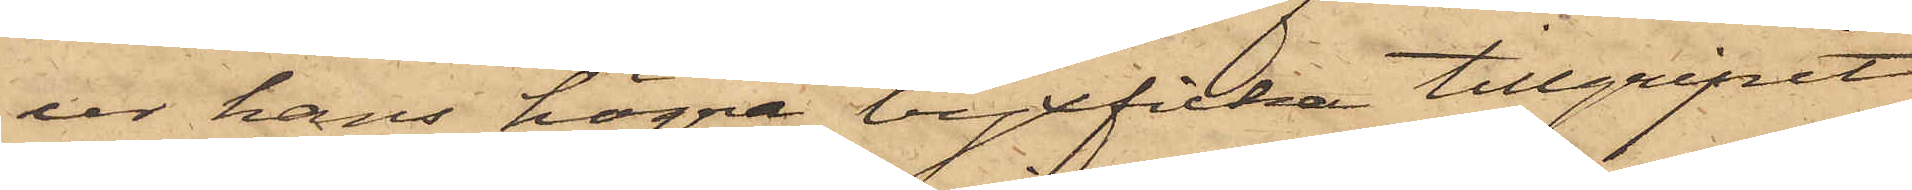ur hans högra byxficka tillgripit
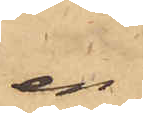en
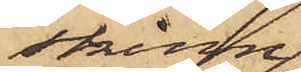skinn¬
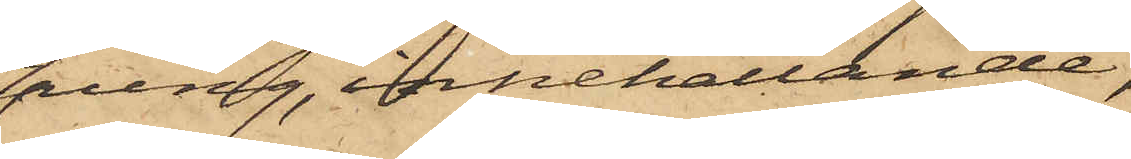pung, innehållande
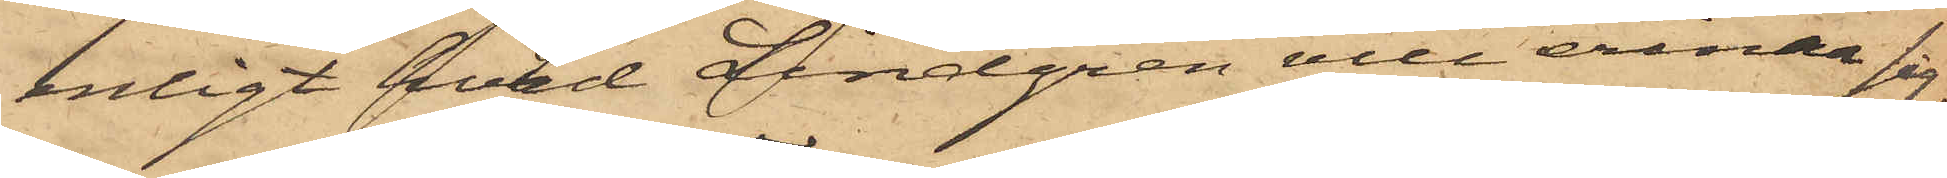enligt hvad Lindgren vill erinra sig,
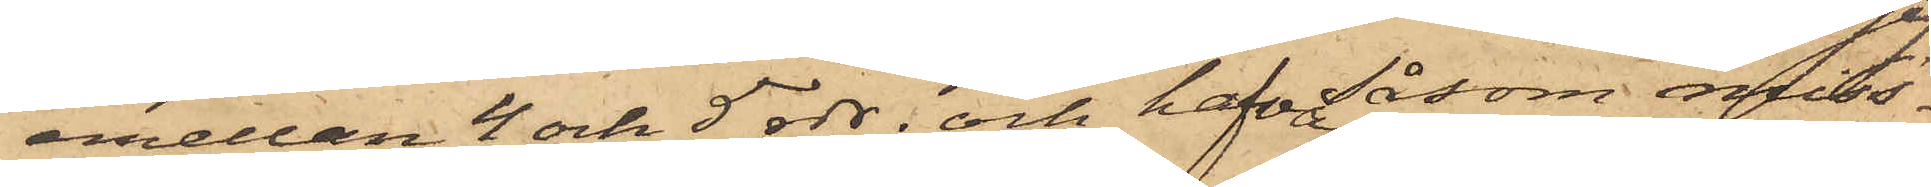emellan 4 och 5 rdr; och hafva såsom miss¬
